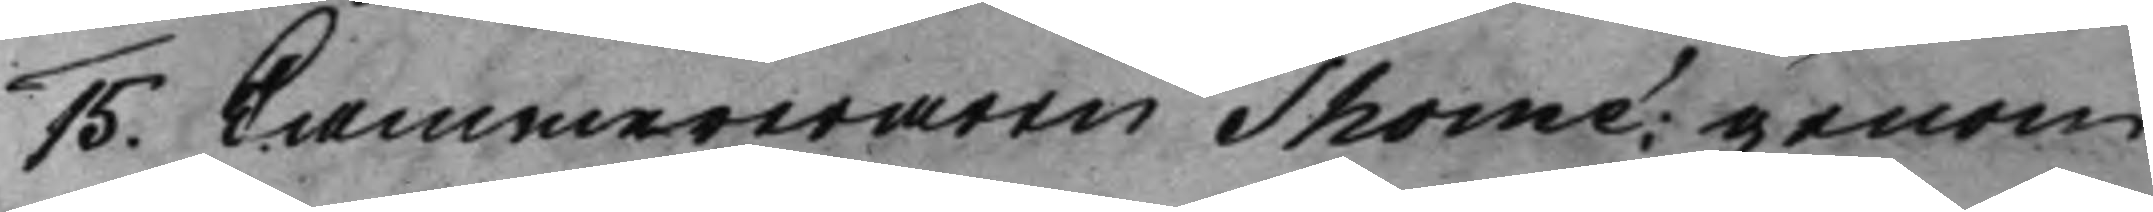15. Cammereraren Thomé; genom
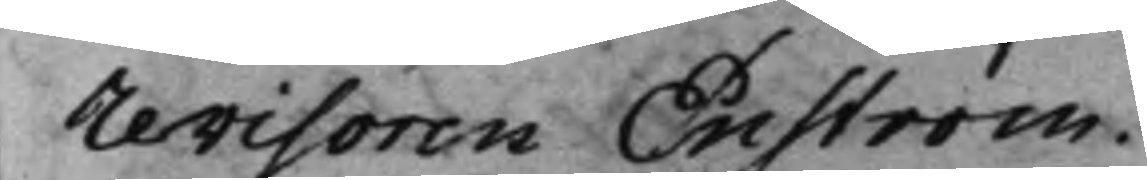Revisoren Enström.
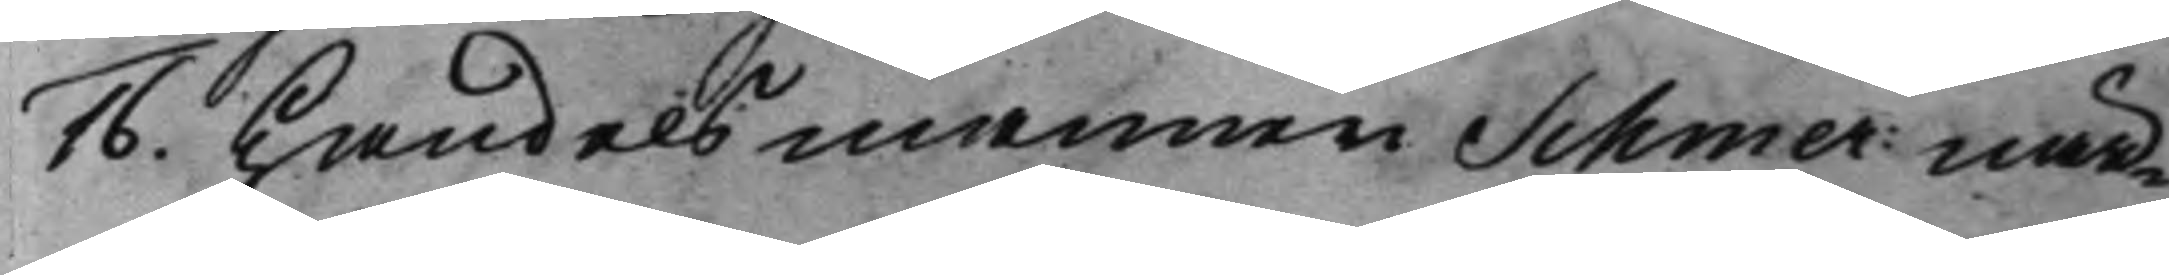16. Handelsmannen Schmer: när¬
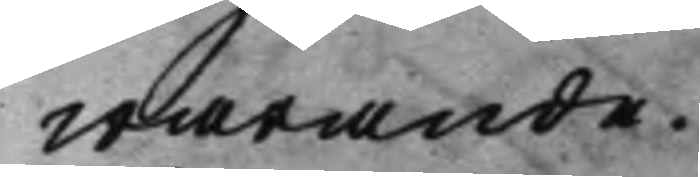warande.
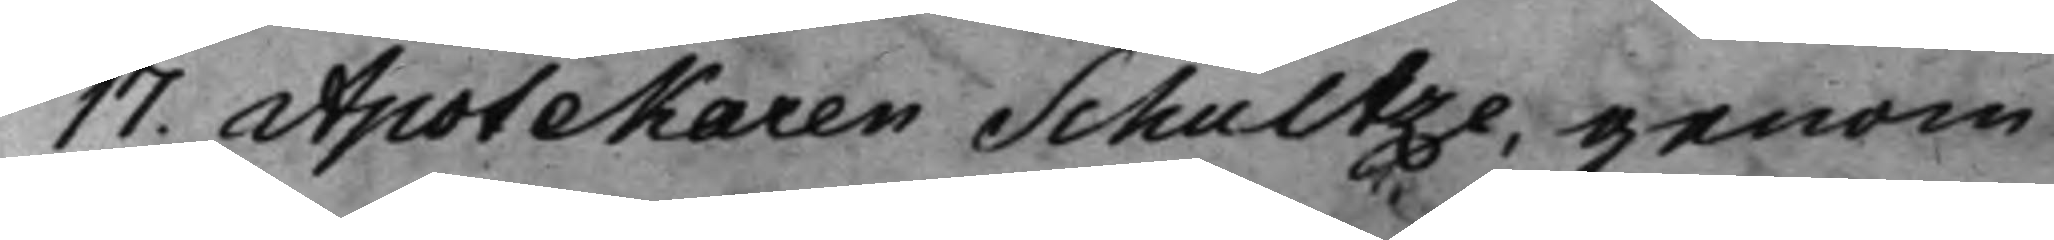17. Apotekaren Schultze, genom
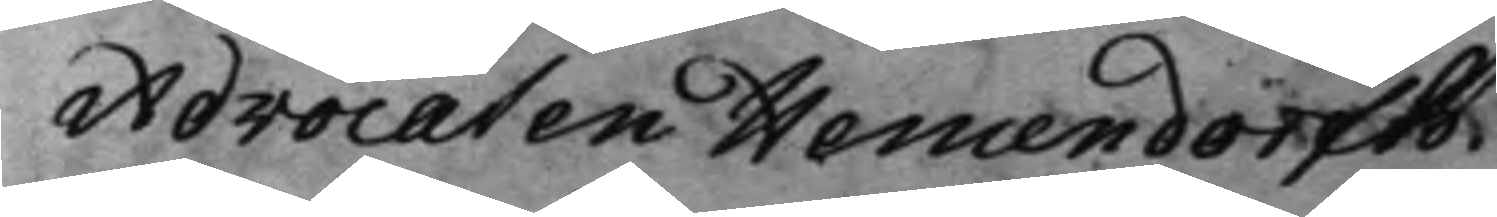Advocaten Hemendorfh.
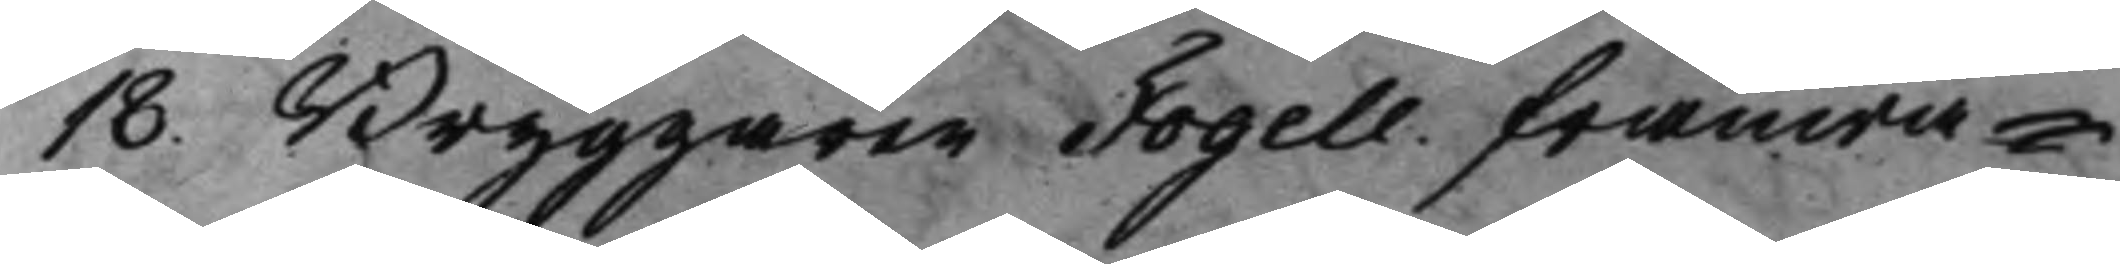18. Bryggaren Fogell. frånwa¬
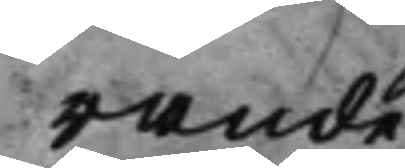rande.
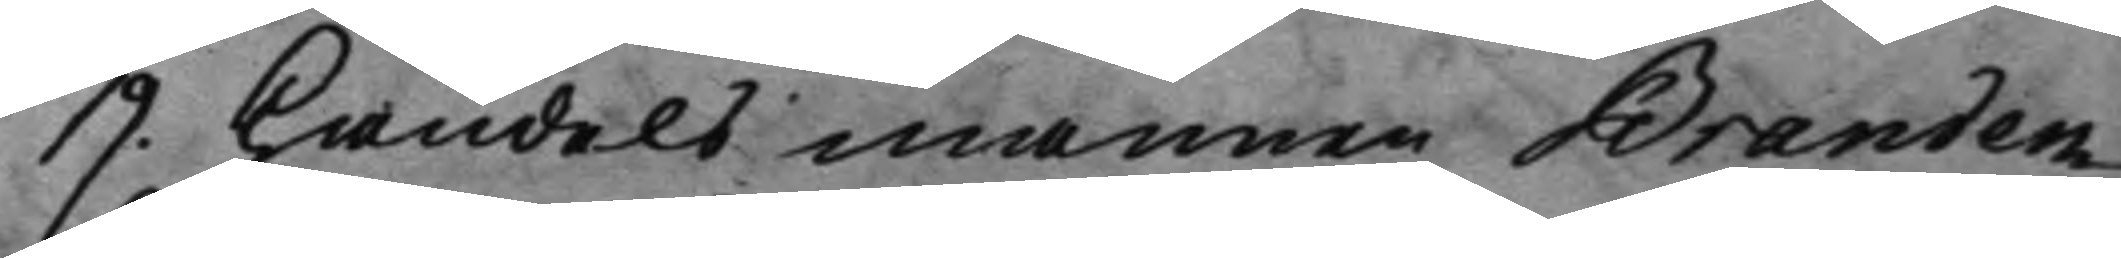19. Handelsmannen Branden¬
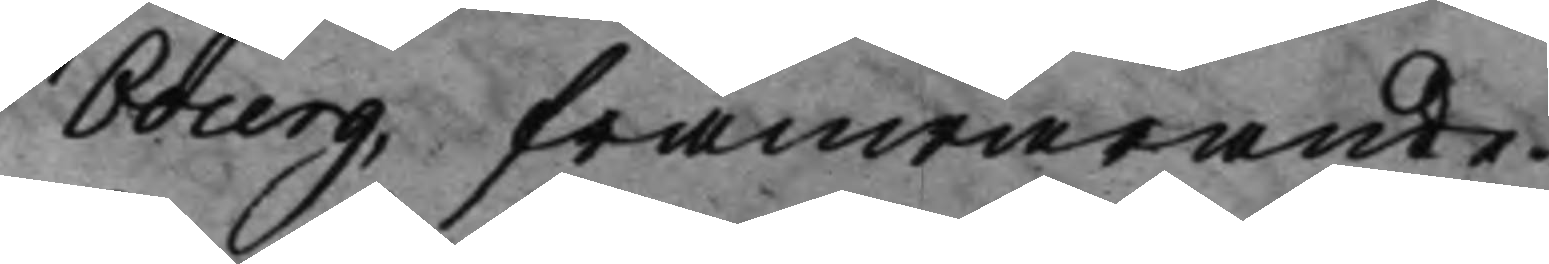bourg, frånwarande.
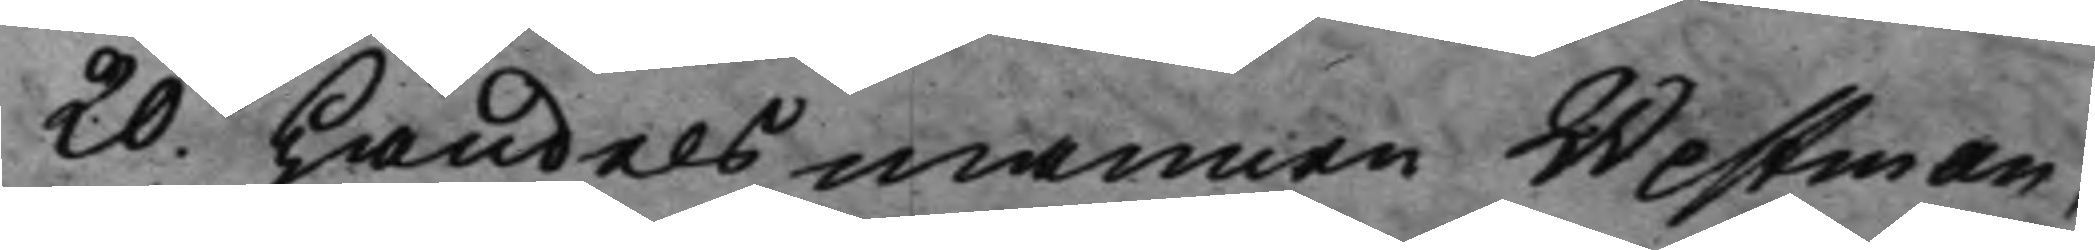20. Handelsmannen Westman, 
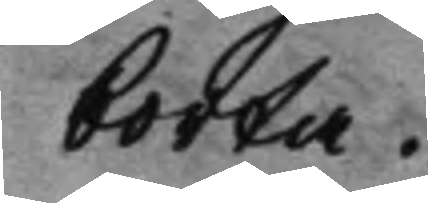borta.
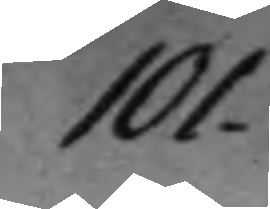101.
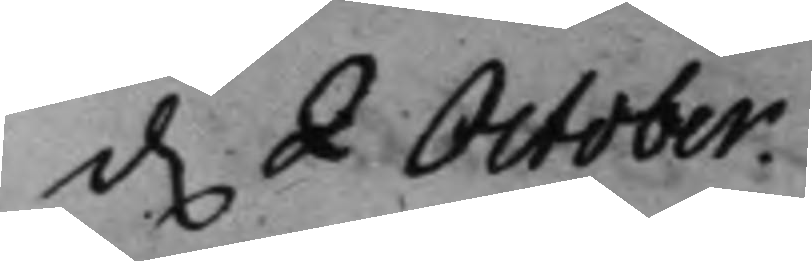d. 2 October. 
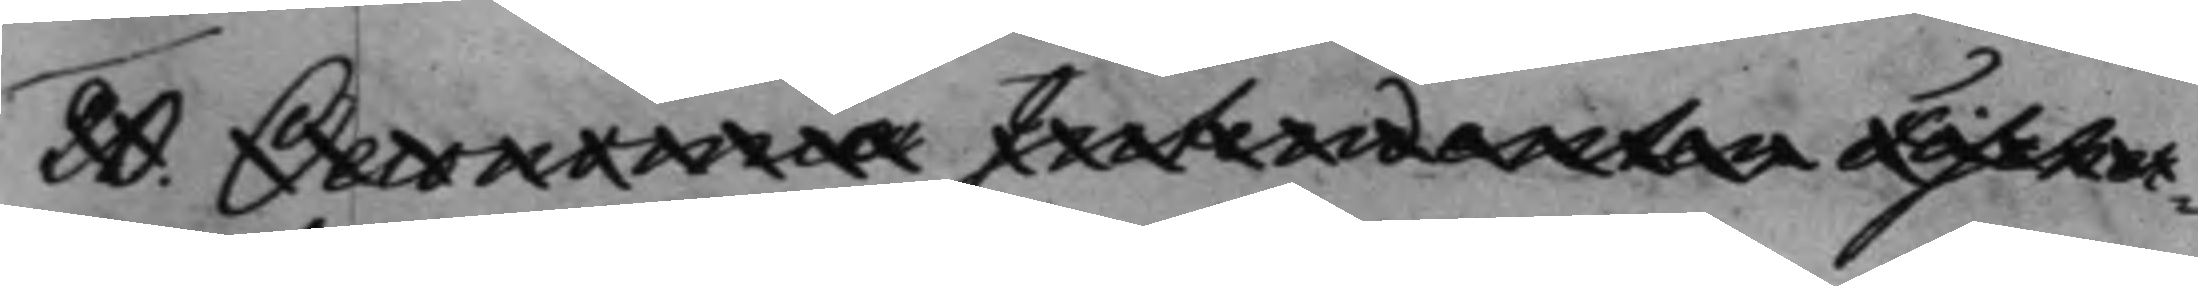20. Oeconomie Intendenten Fischer¬ 
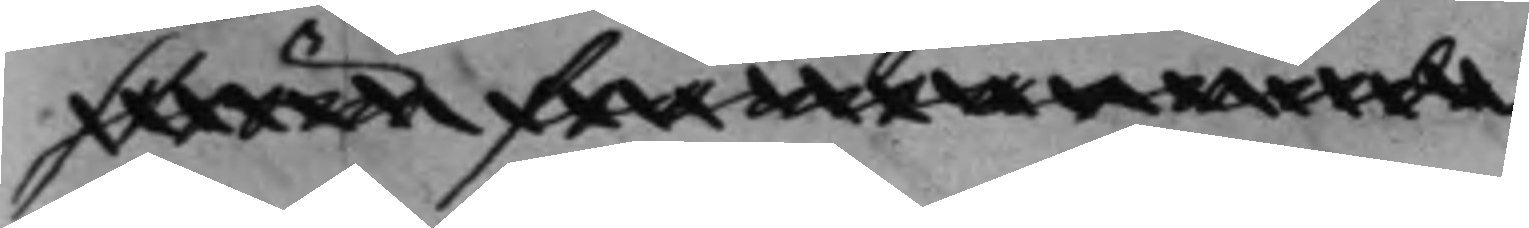ström frånwarande.
